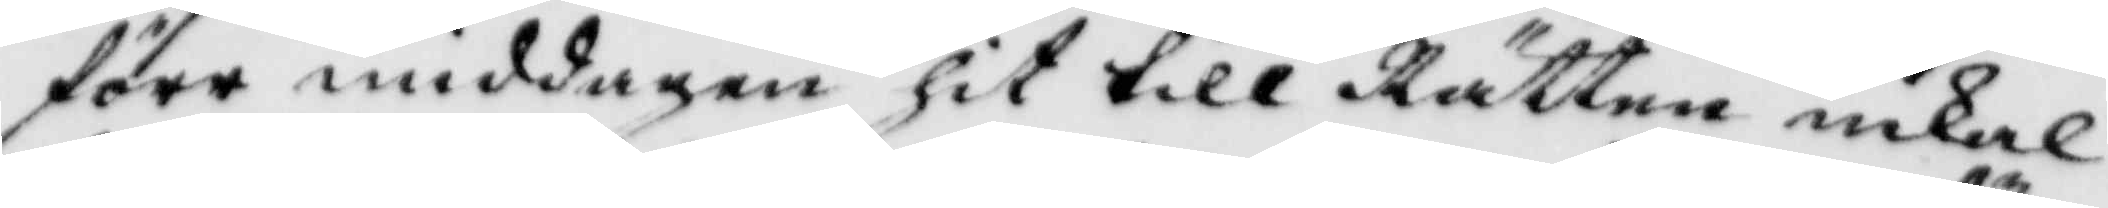före middagen hit till Rätten inkal¬
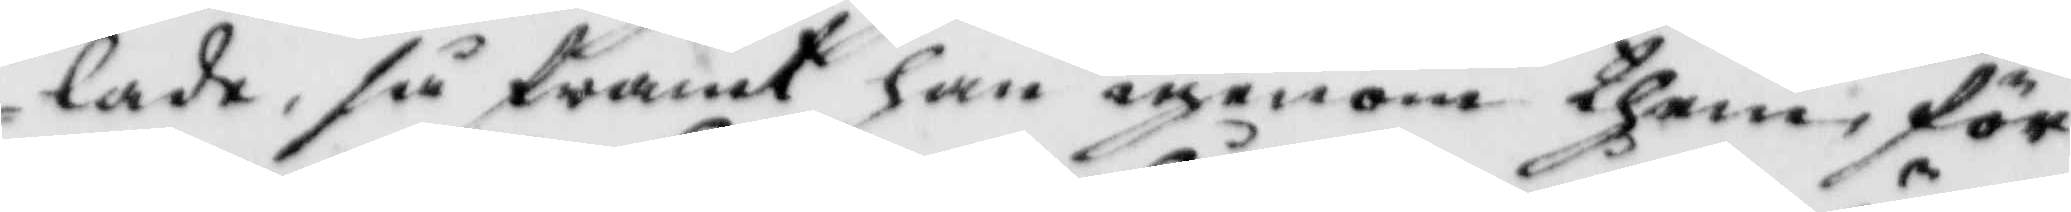lade, så framt han igenom them, för¬
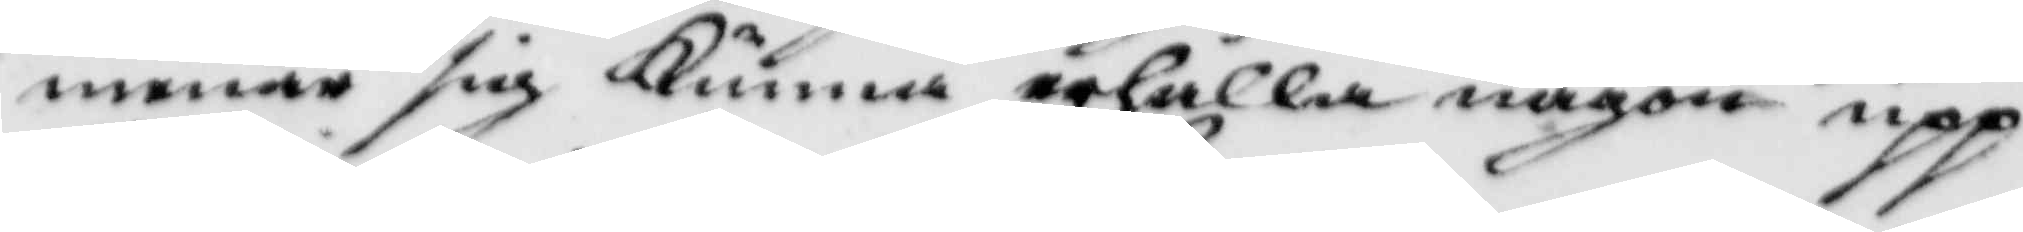menar sig Kunna erhålla någon upp¬
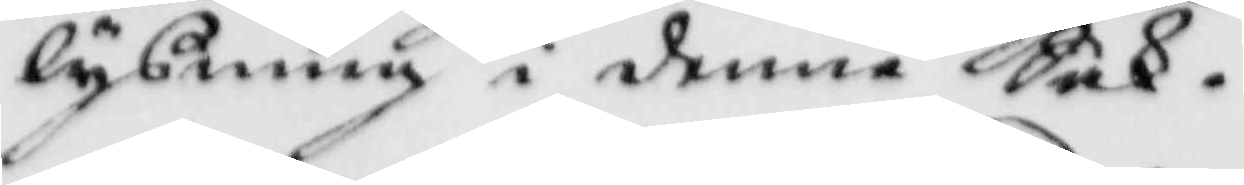lysning i denne Sak.
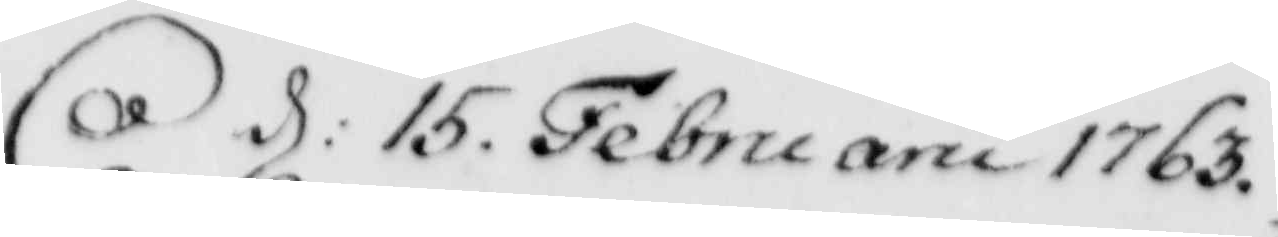d: 15. Februarii 1763.
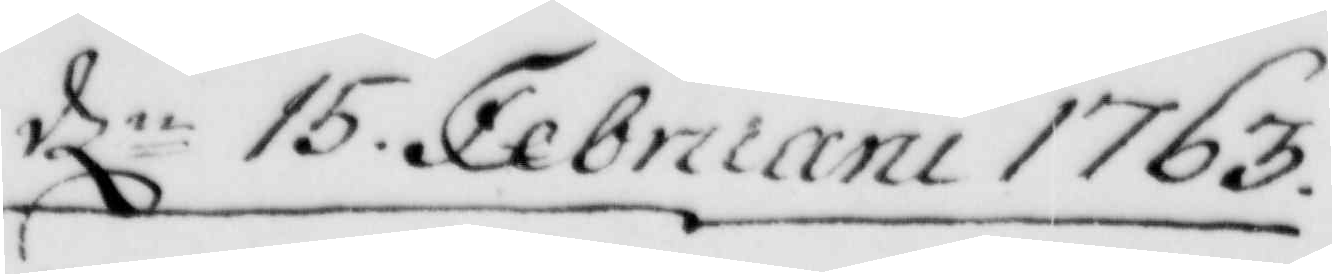dln 15. Februarii 1763
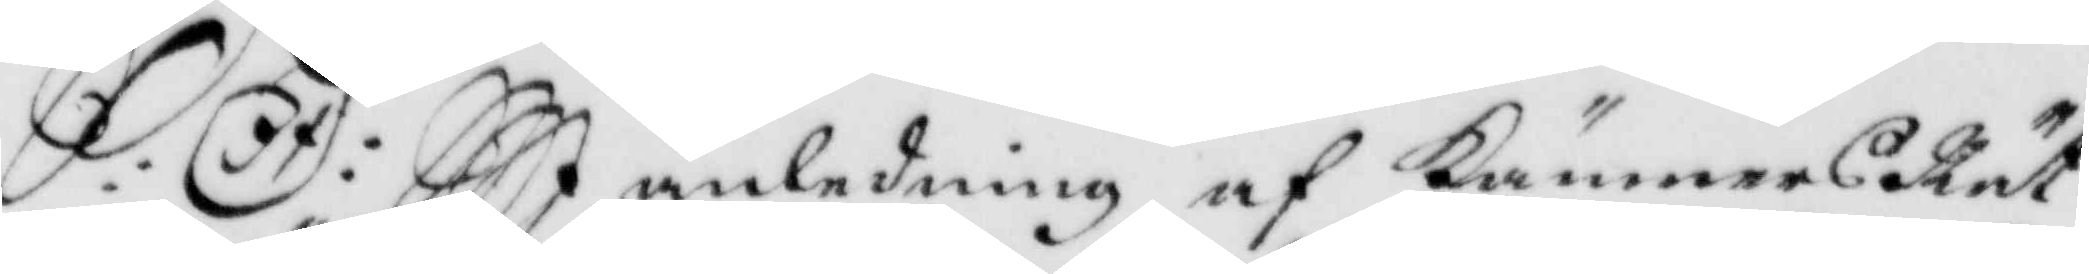S: D: I anledning af KämnersRät¬
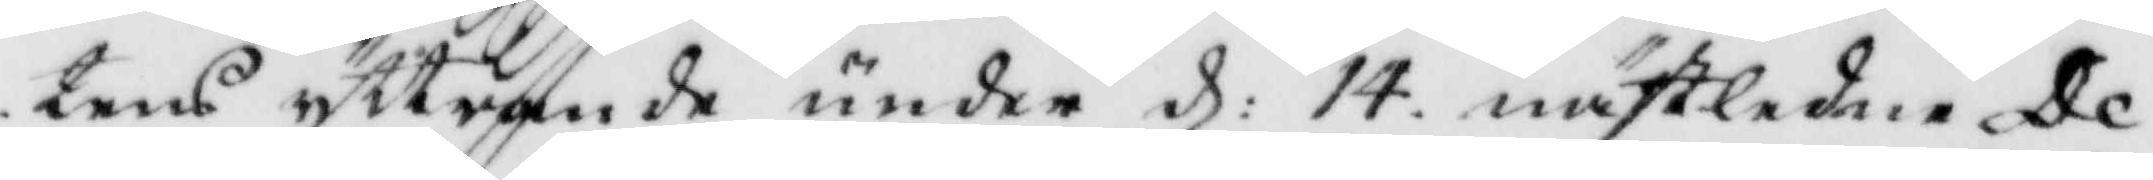tens yttrande under d: 14. nästledne De¬
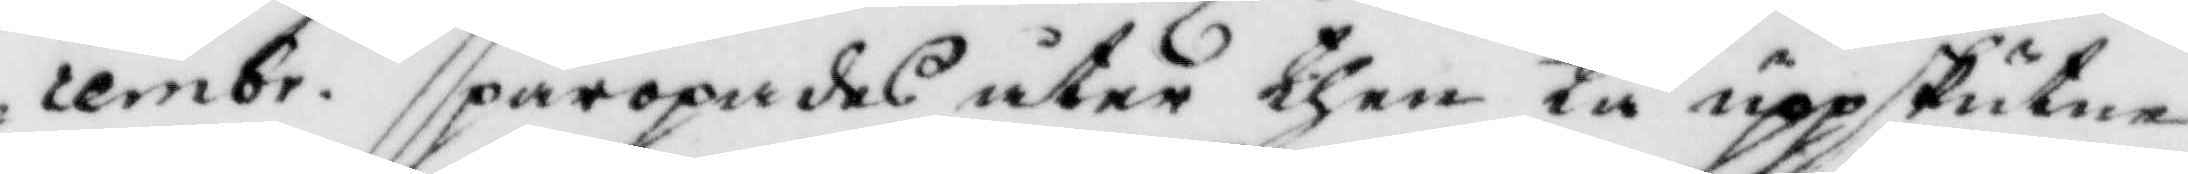cembr. påropades åter then tå uppskutne
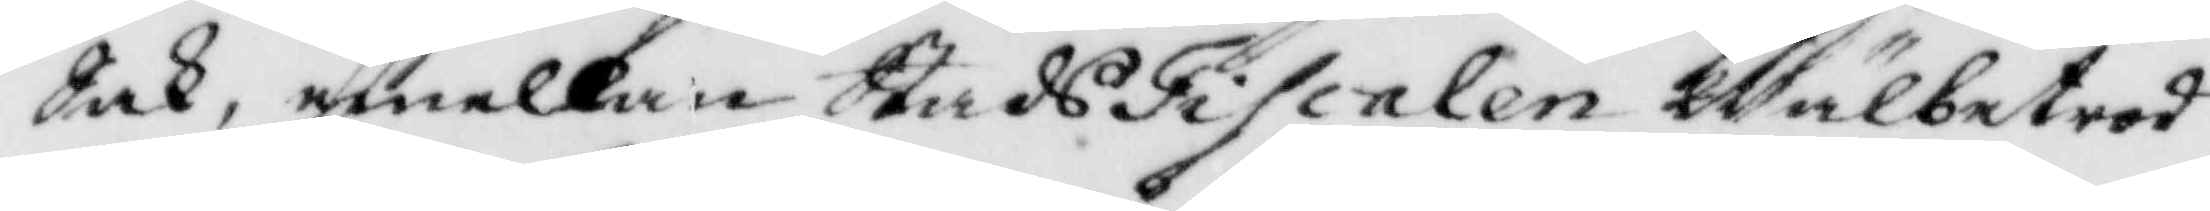Sak, emellan StadsFiscalen Wälbetrod¬
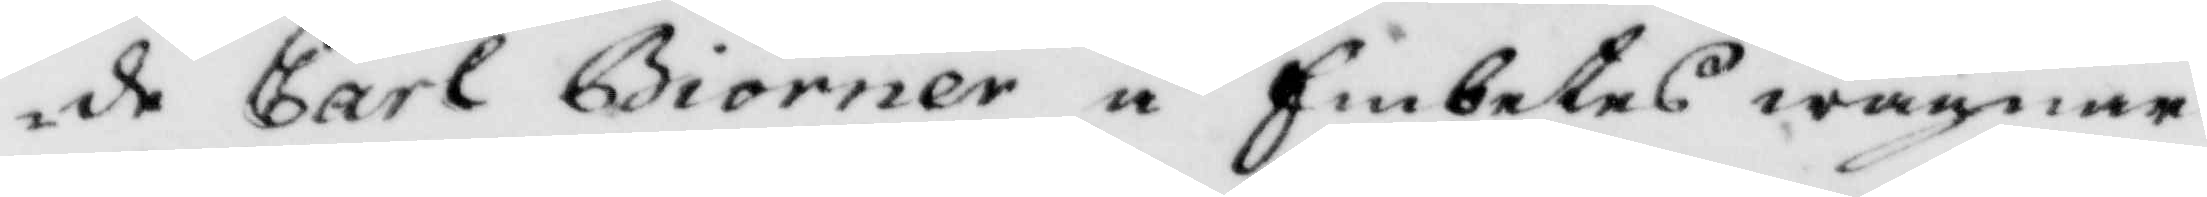de Carl Biörner å Embetets wägnar
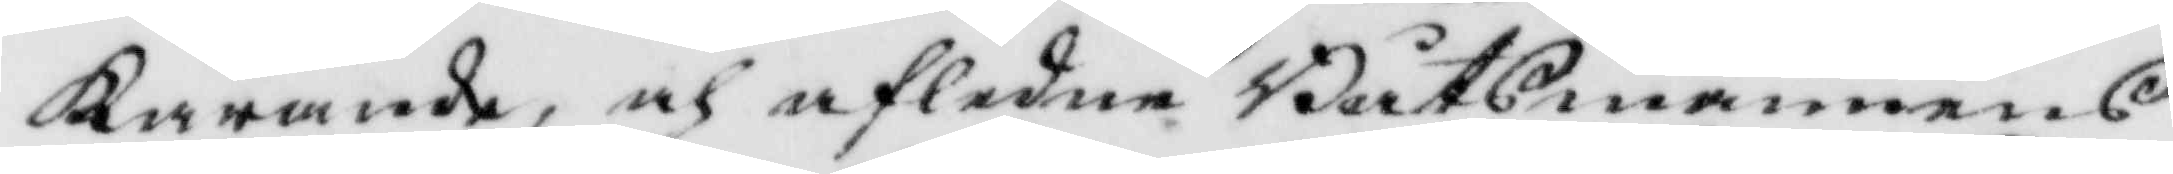Kärande, och afledne Båtsmannens
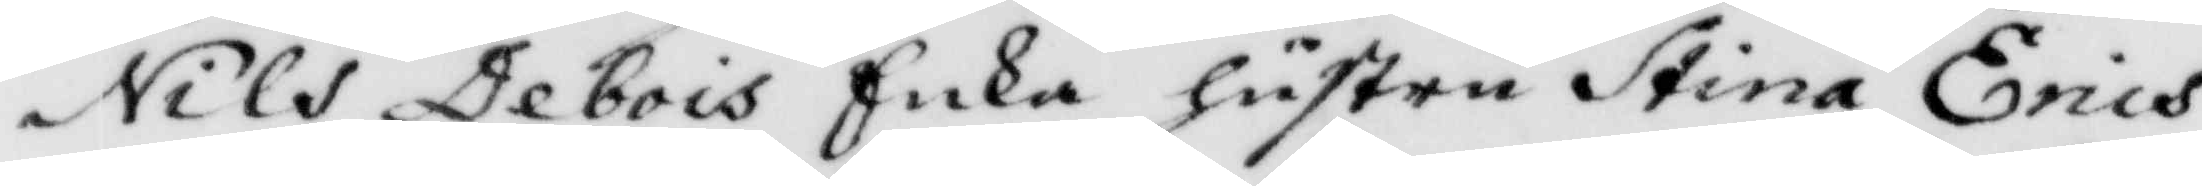Nils Debois Enka hustru Stina Erics¬
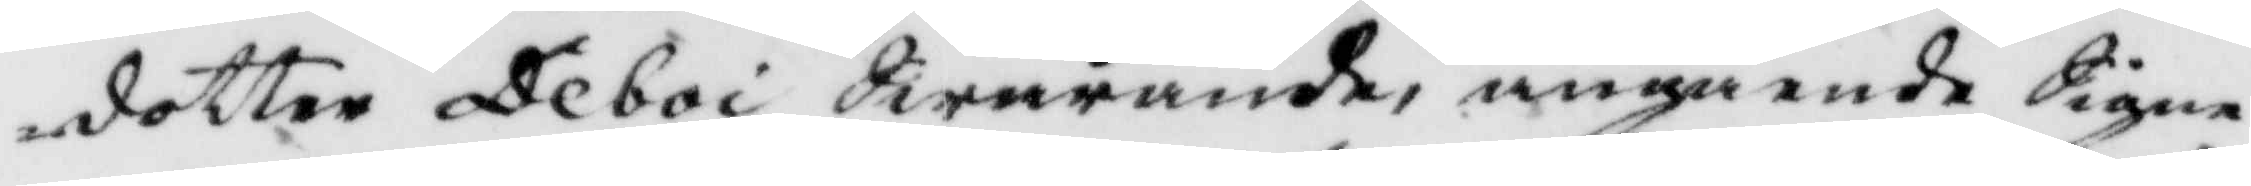dotter Deboi Swarande, angående Signe¬
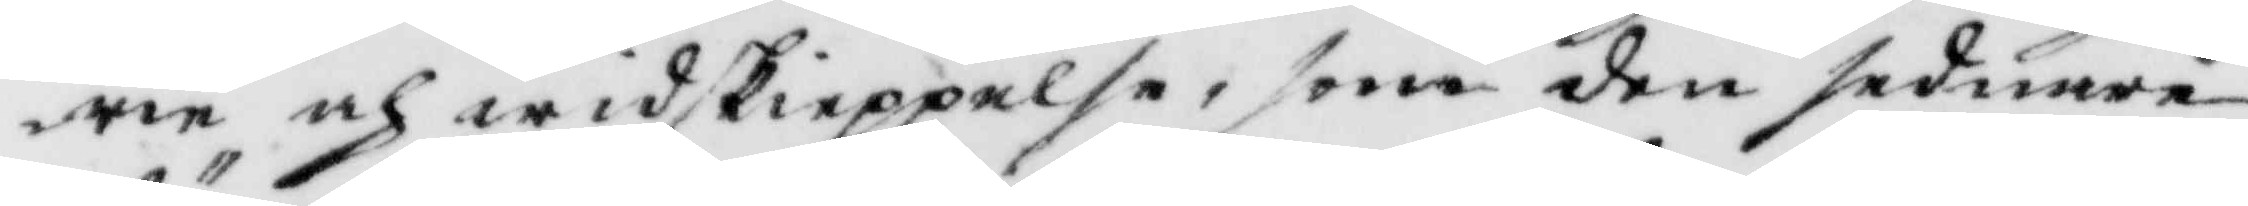rie och widskieppelse, som den sednare
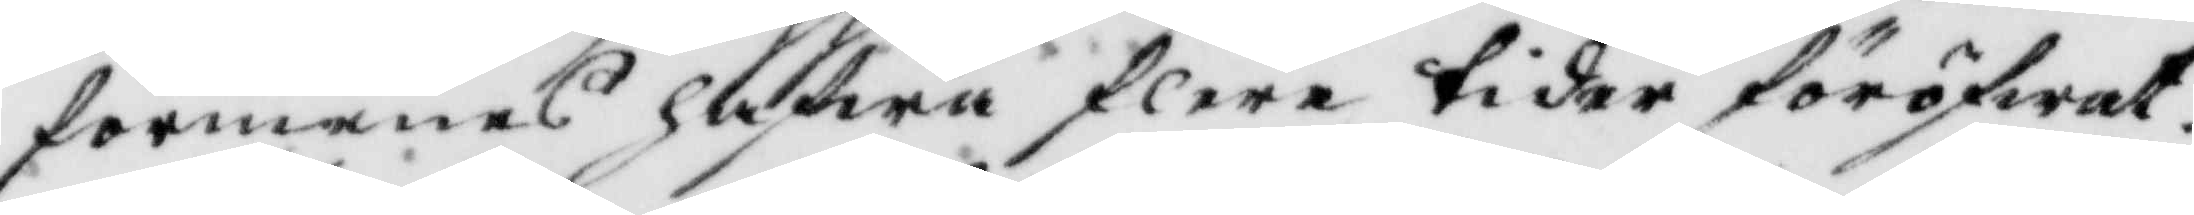förmenas hafwa flere tider förofwat.
